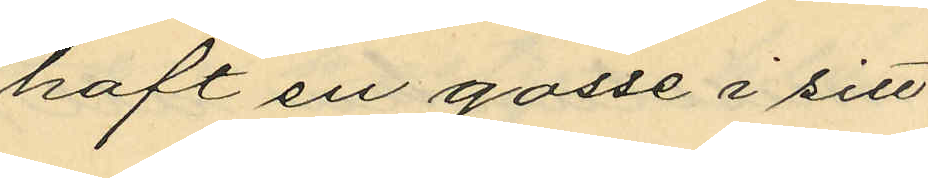haft en gosse i sitt
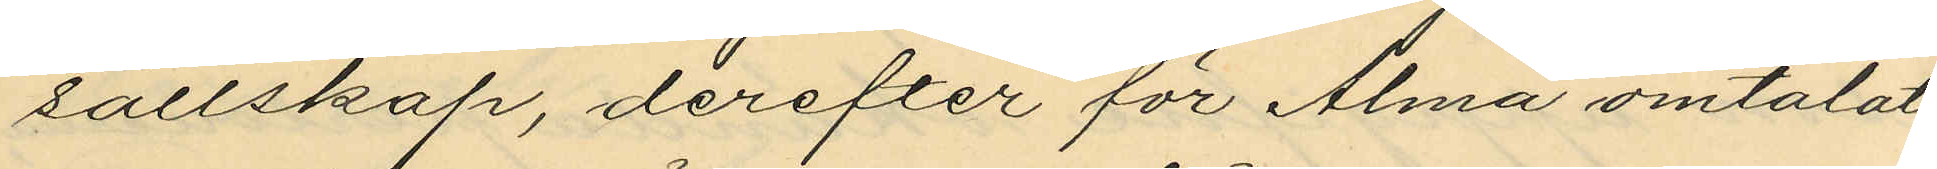sällskap, derefter för Alma omtalat
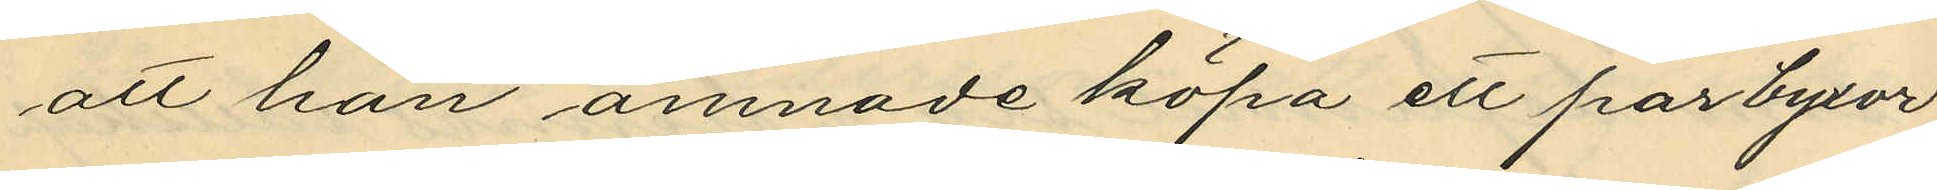att han ämnade köpa ett par byxor
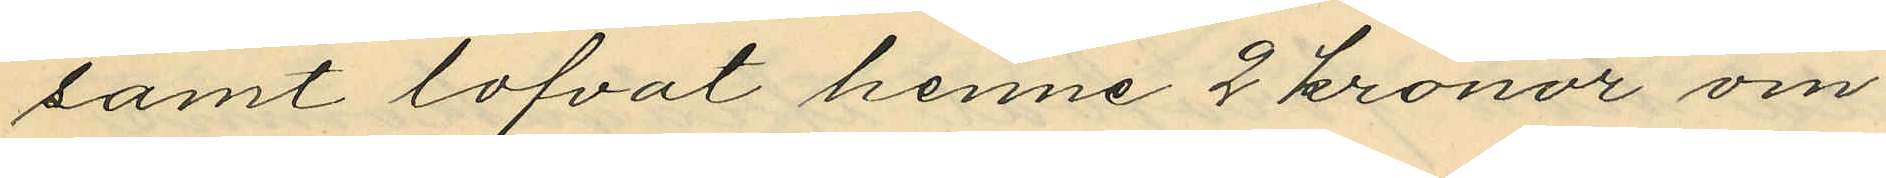samt lofvat henne 2 kronor om
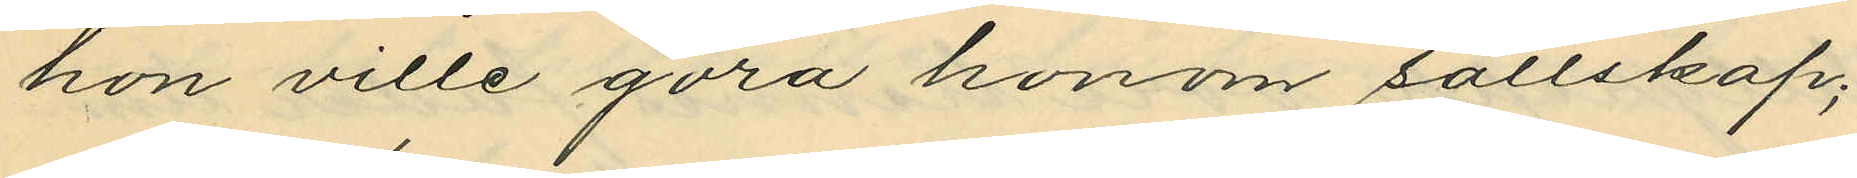hon ville göra honom sällskap;
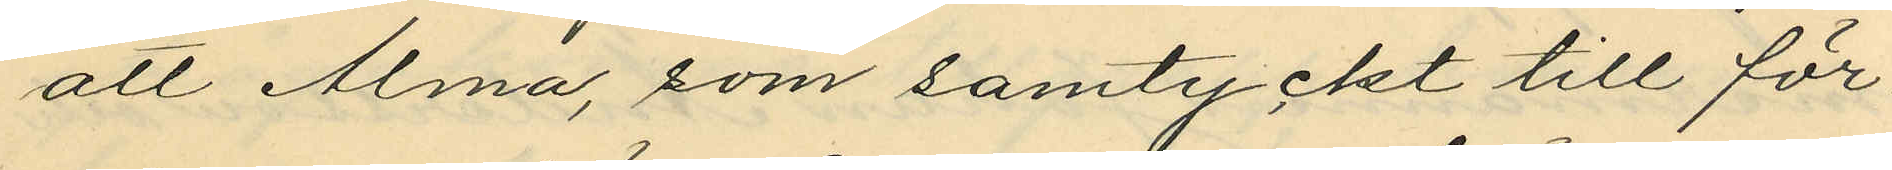att Alma, som samtyckt till för¬
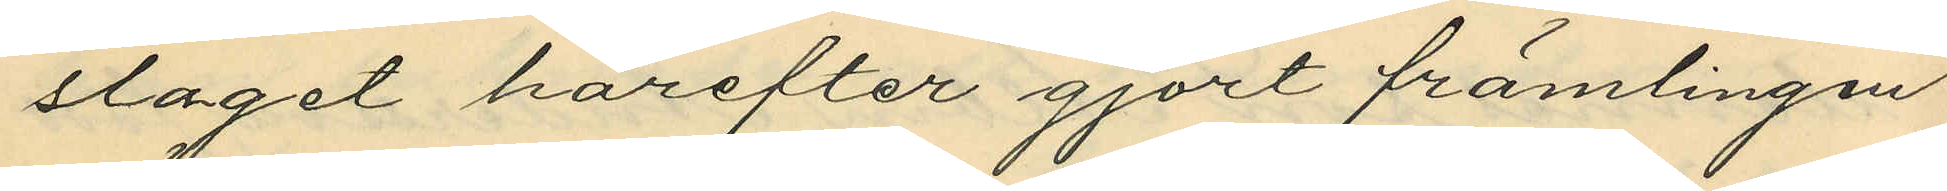slaget härefter gjort främlingen
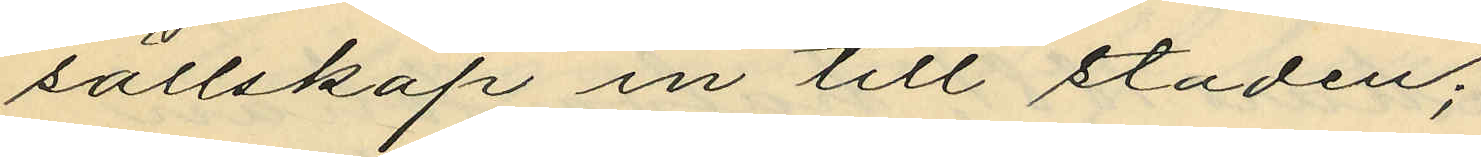sällskap in till staden;
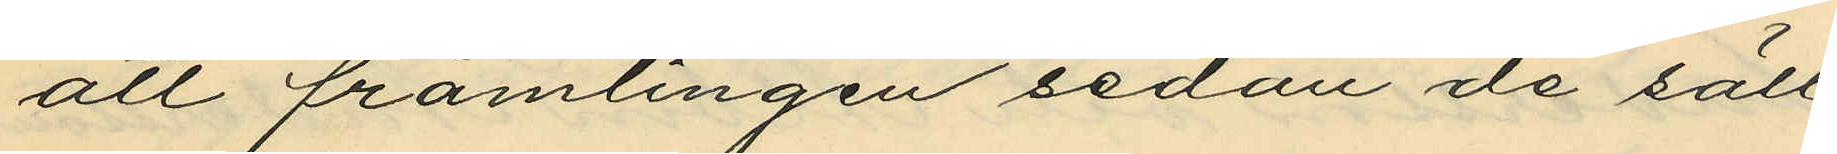att främlingen sedan de säll¬
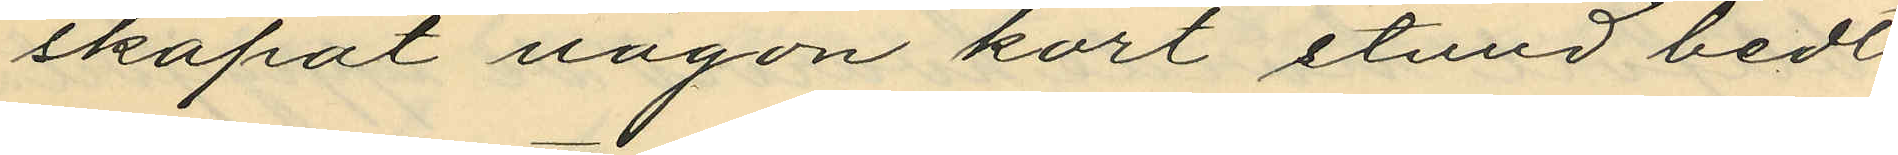skapat någon kort stund bedt
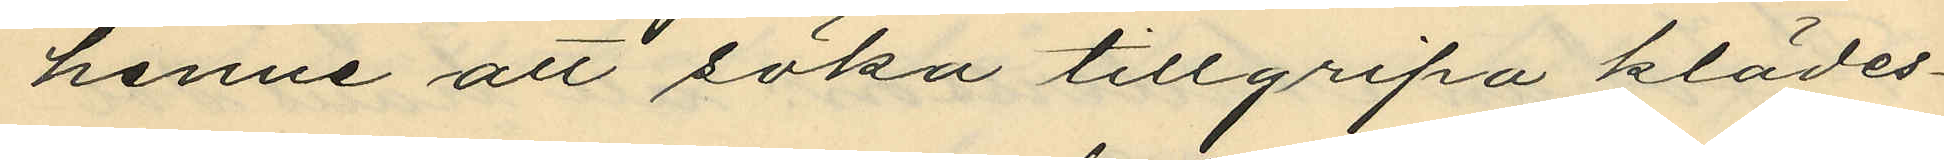henne att söka tillgripa klädes¬
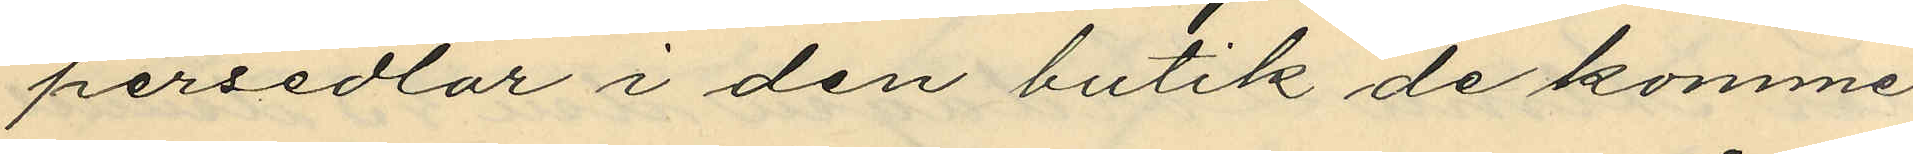persedlar i den butik de komme
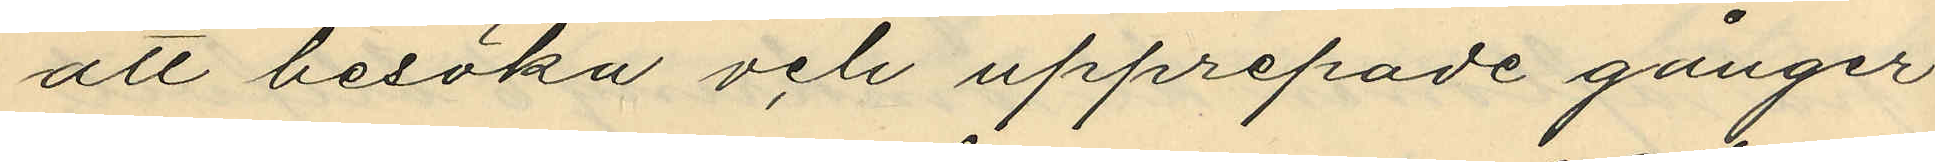att besöka och upprepade gånger
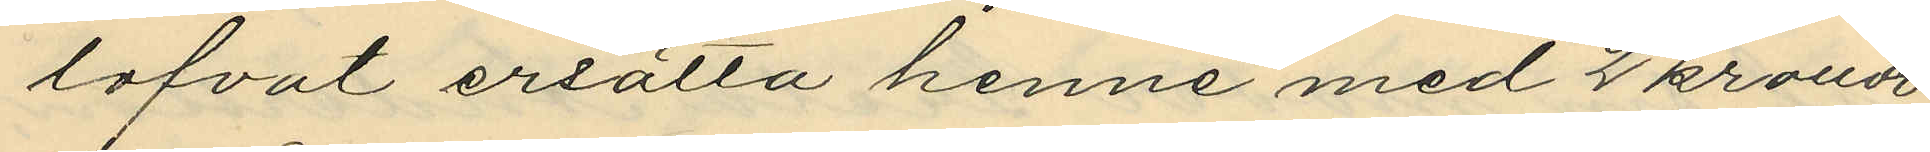lofvat ersätta henne med 2 kronor
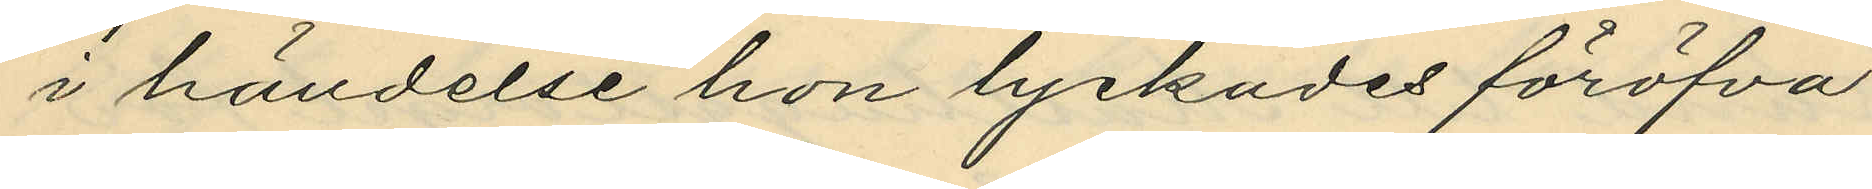i händelse hon lyckades föröfva
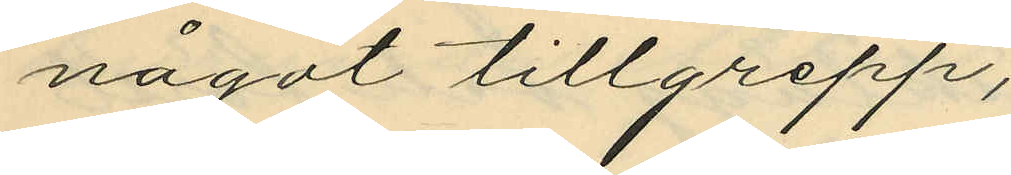något tillgrepp;
